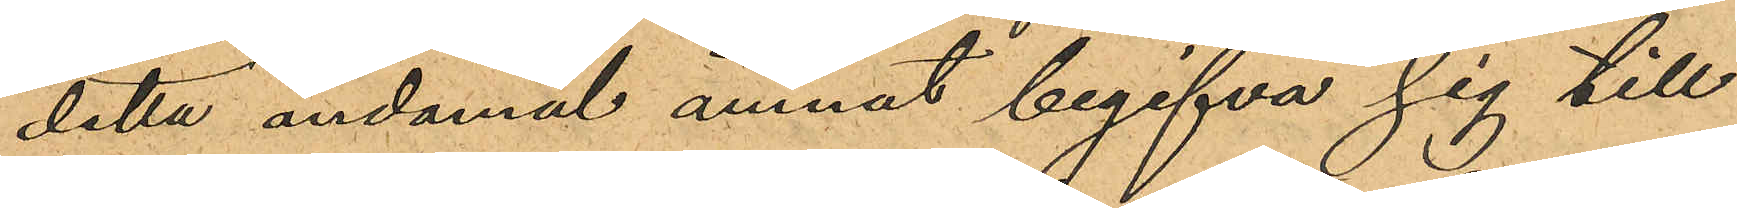detta ändamål ämnat begifva sig till
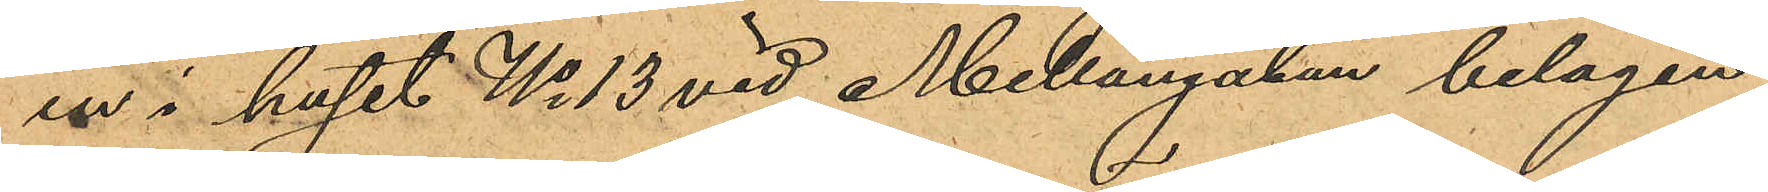en i huset No 13 vid Mellangatan belägen
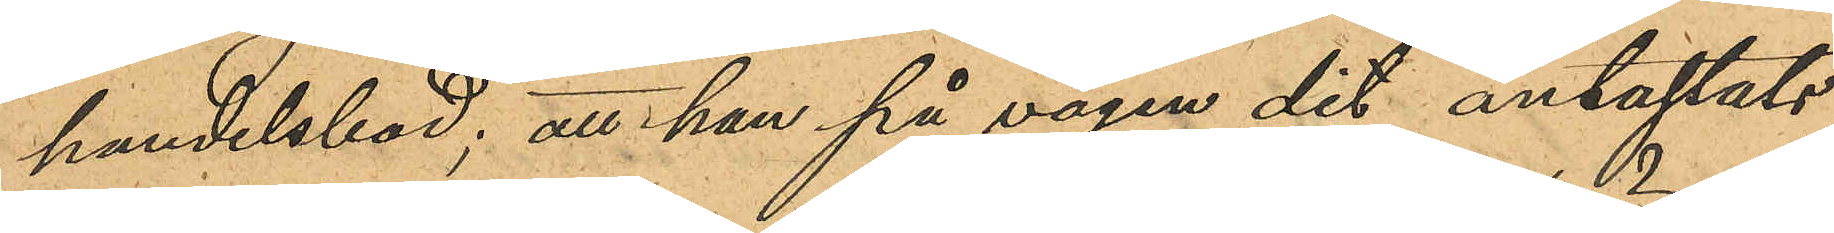handelsbod; att han på vägen dit antastats
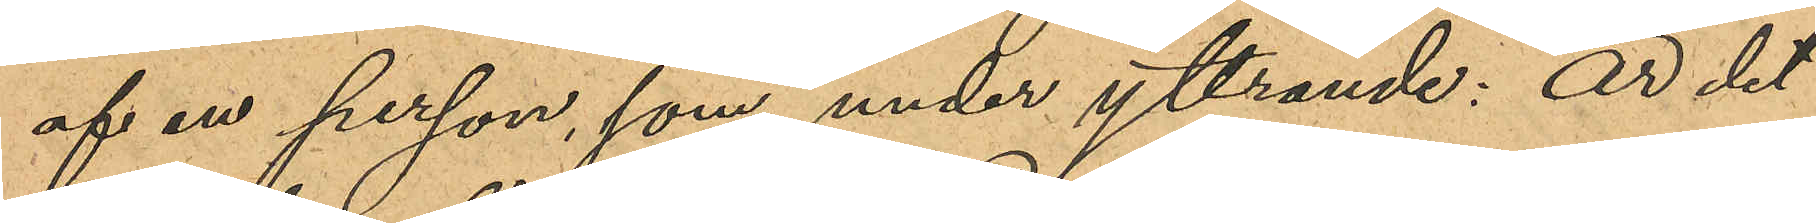af en person, som under yttrande: "Är det
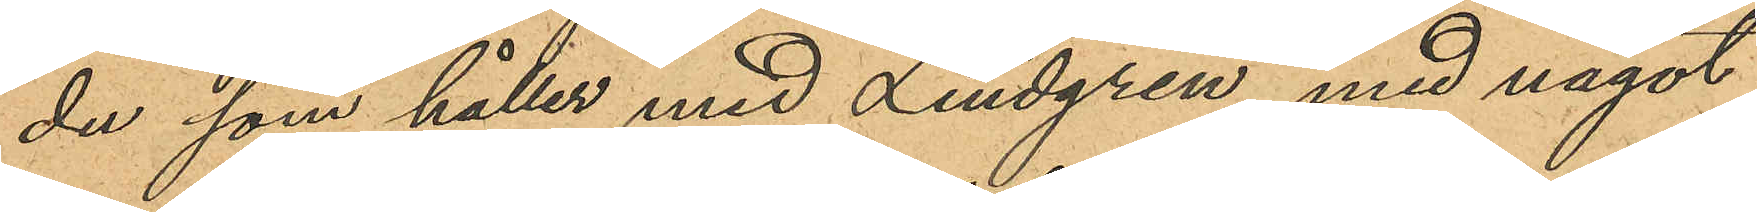du som håller med Lindgren", med något
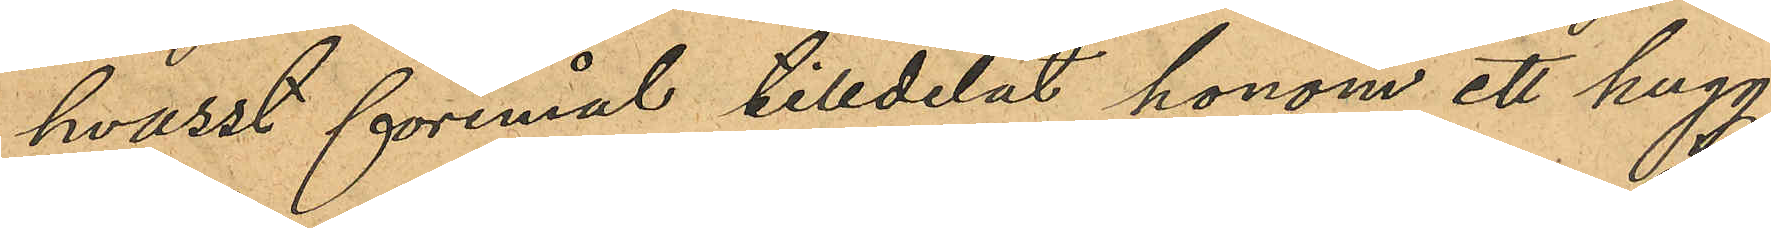hvasst föremål tilldelat honom ett hugg
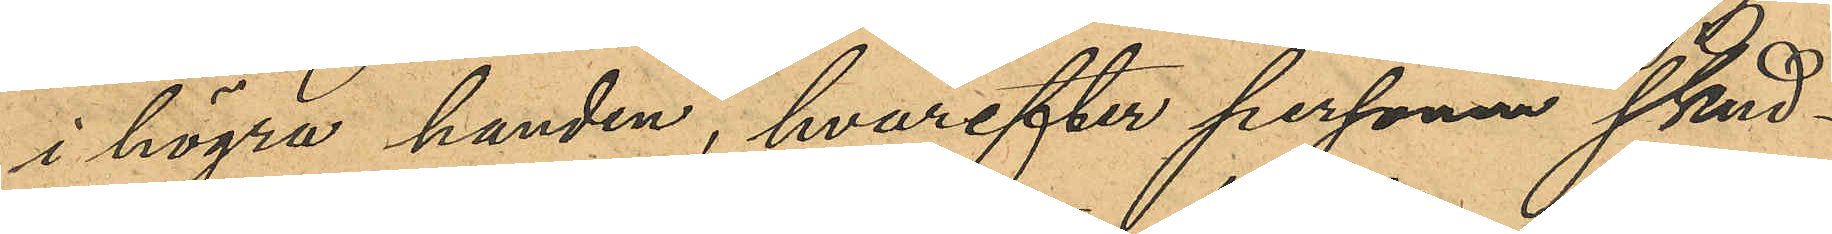i högra handen, hvarefter personen skynd¬
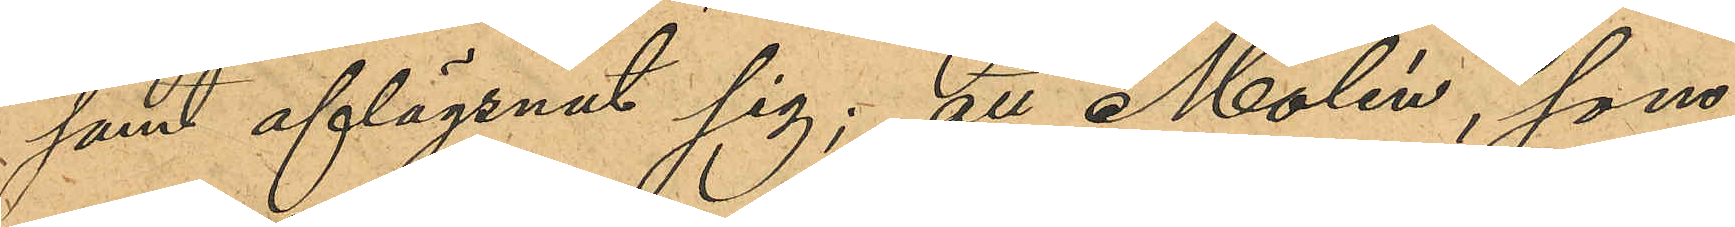samt aflägsnat sig; att Molén, som
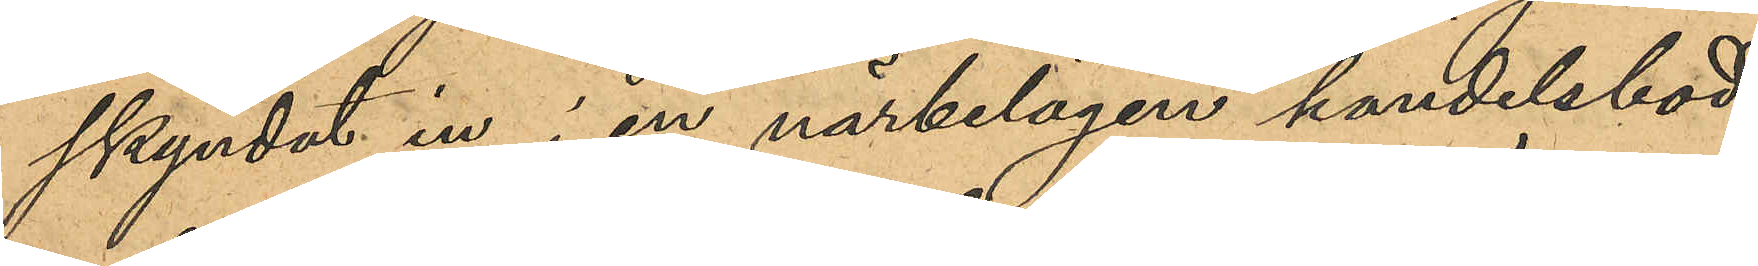skyndat in i en närbelägen handelsbod
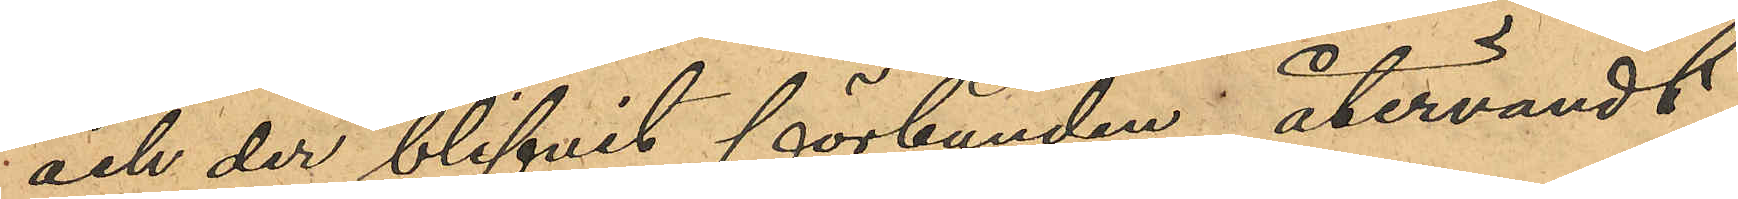och der blifvit förbunden; återvändt
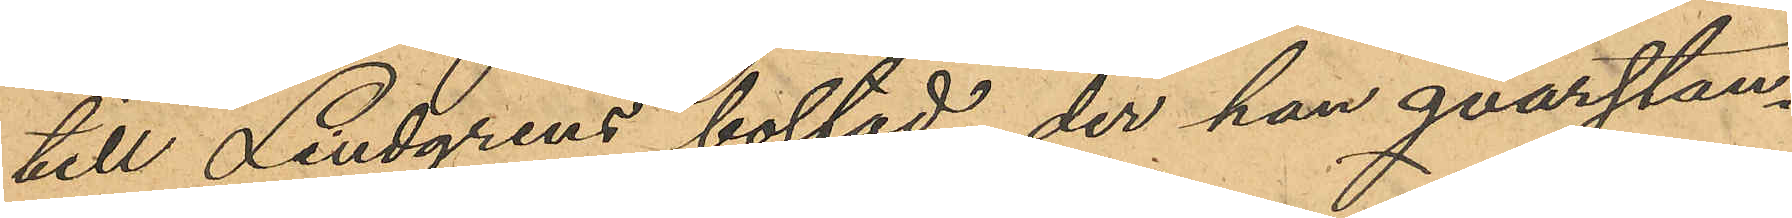till Lindgrens bostad, der han qvarstan¬
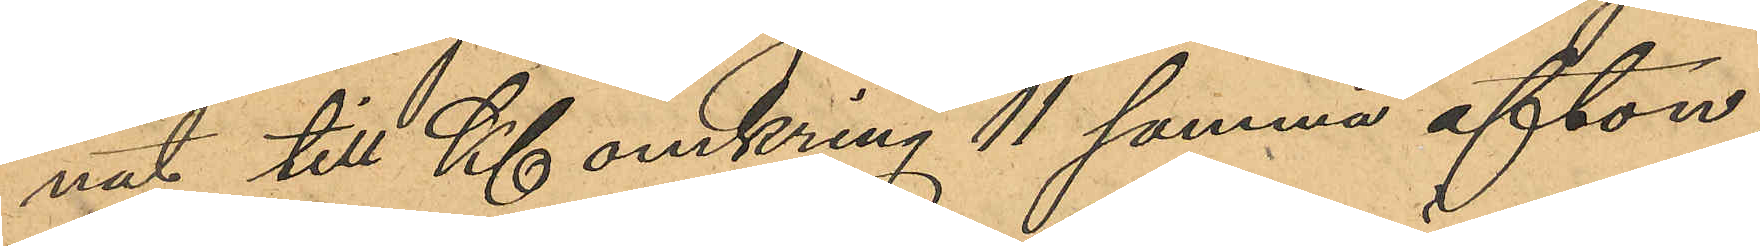nat till Kl omkring 11 samma afton,
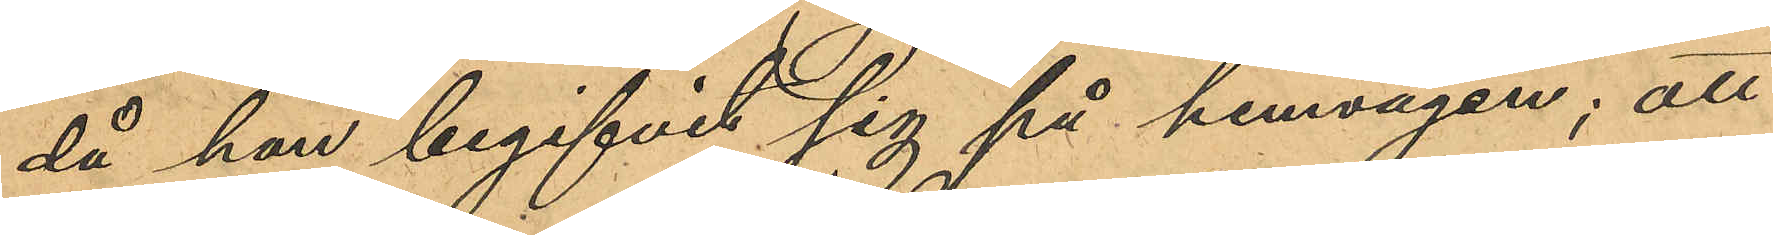då han begifvit sig på henvägen; att
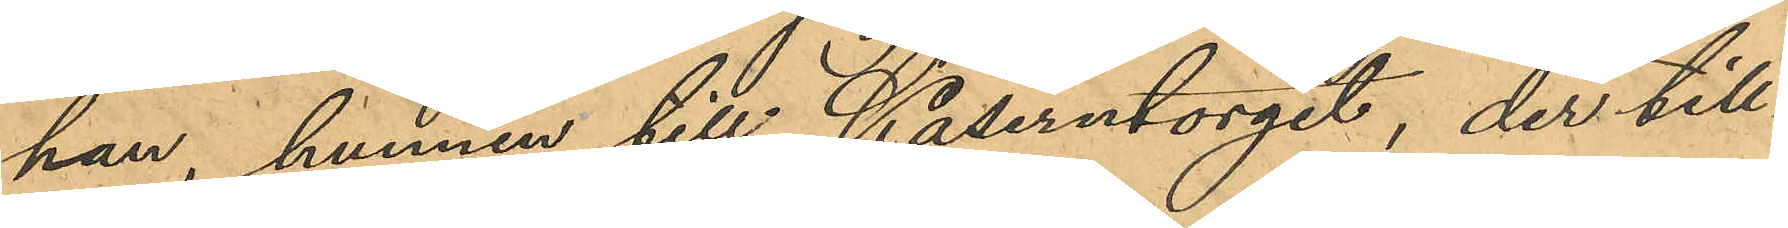han hunnen till Kaserntorget, der till¬
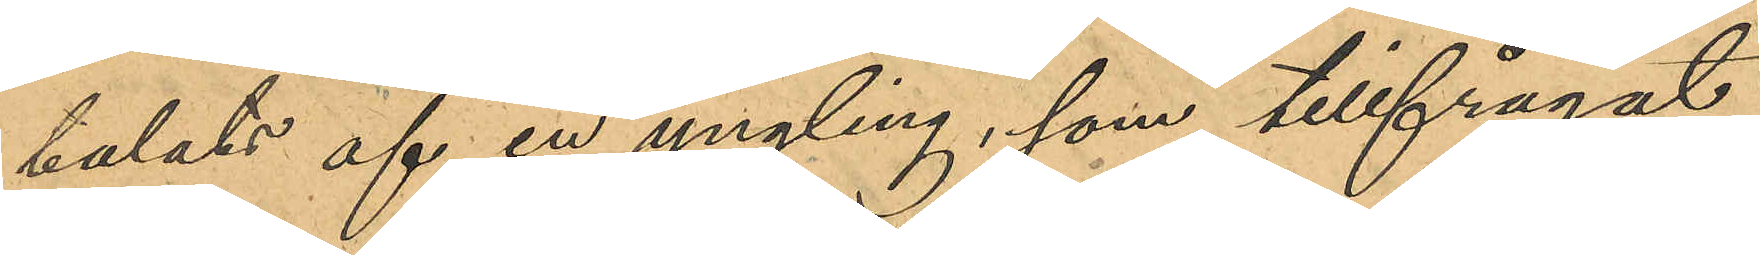talats af en yngling, som tillfrågat
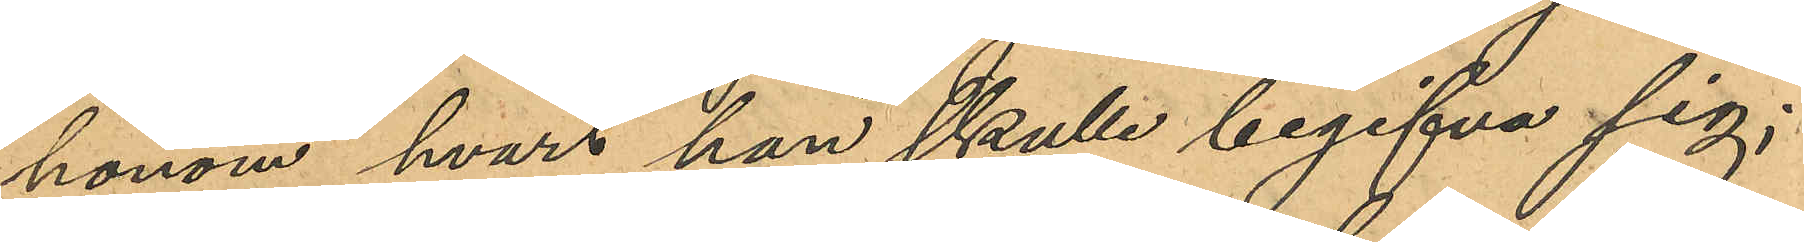honom hvart han skulle begifva sig;
